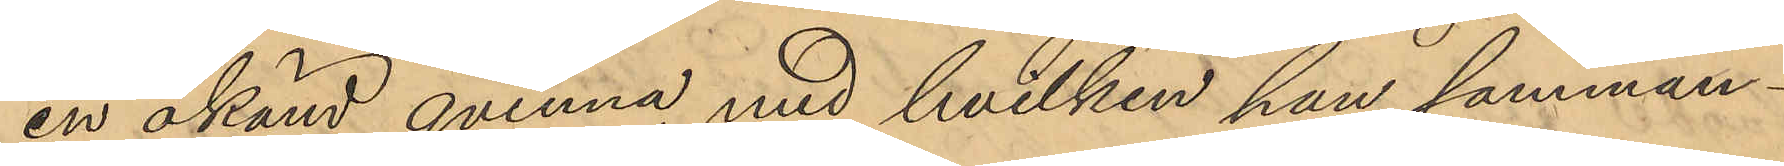en okänd qvinna, med hvilken han samman¬
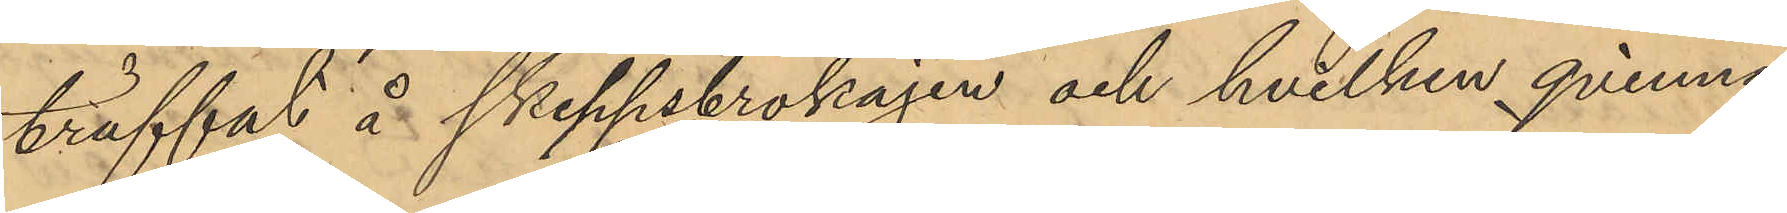träffat å Skeppsbrokajen och hvilken qvinna
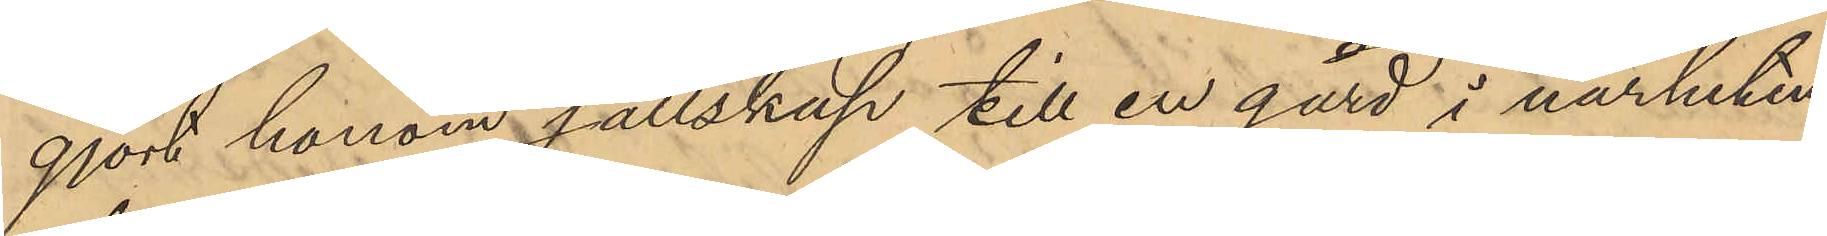gjort honom sällskap till en gård i närheten
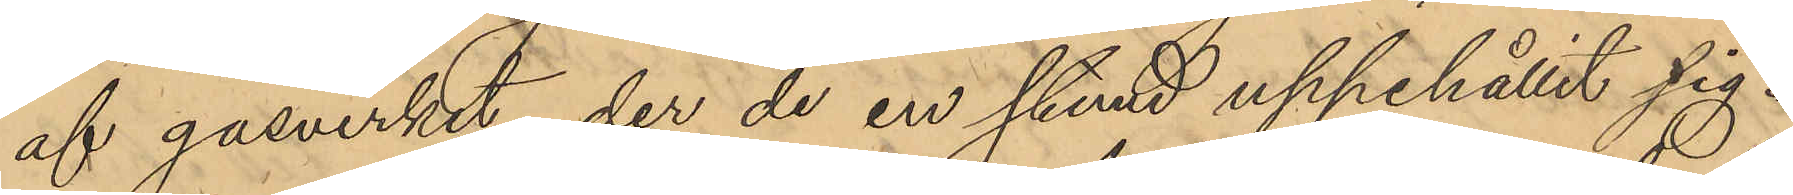af gasverket, der de en stund uppehållit sig. 
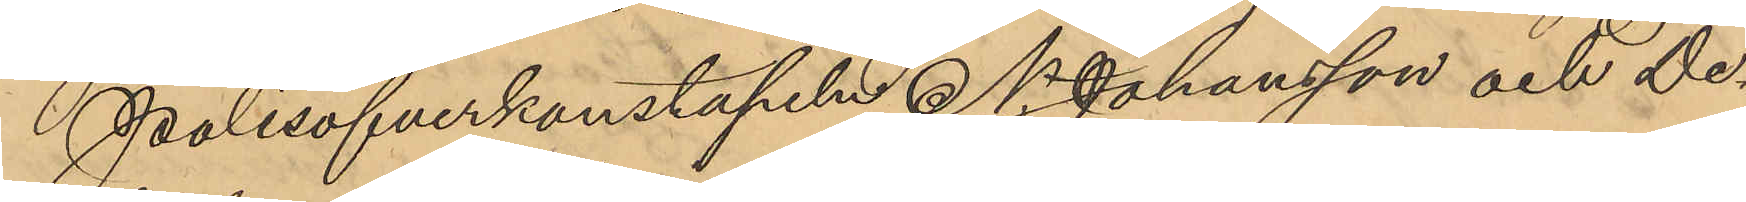Polisöfverkonstapeln N. Johansson och De¬
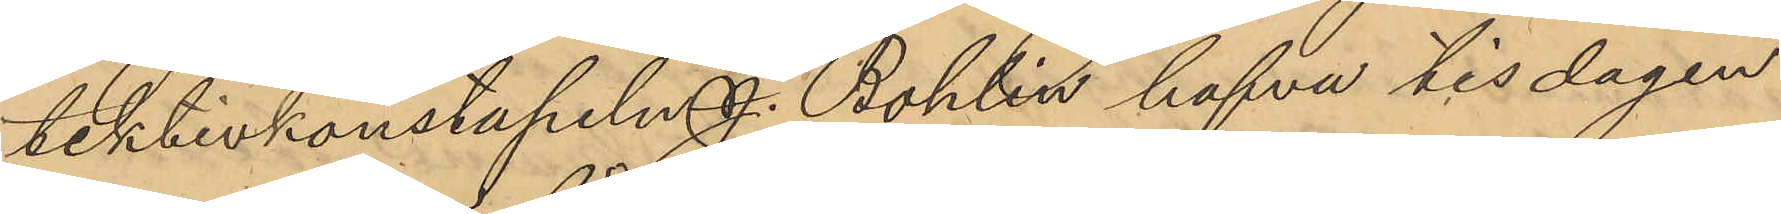tektivkonstapeln J. Bohlin hafva tisdagen
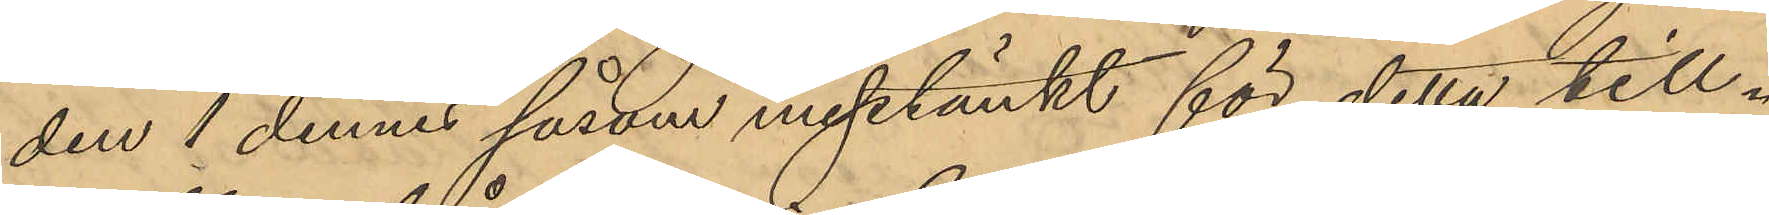den 1 dennes såsom misstänkt för detta till¬
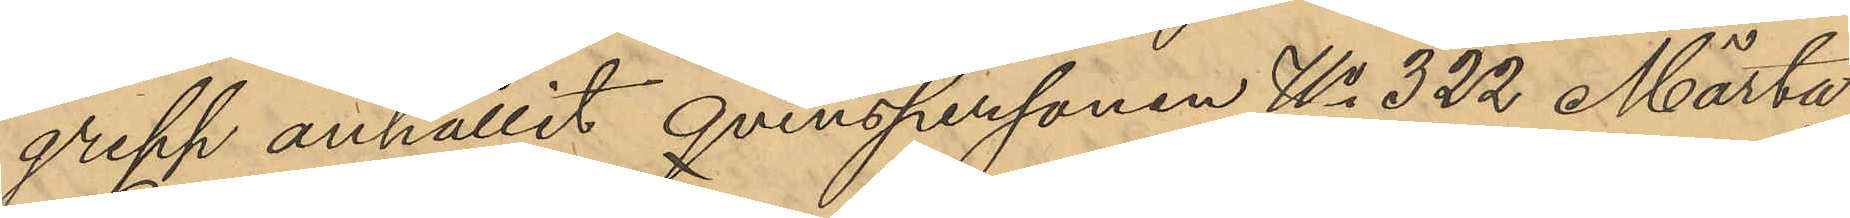grepp anhållit qvinspersonen No 322 Märta
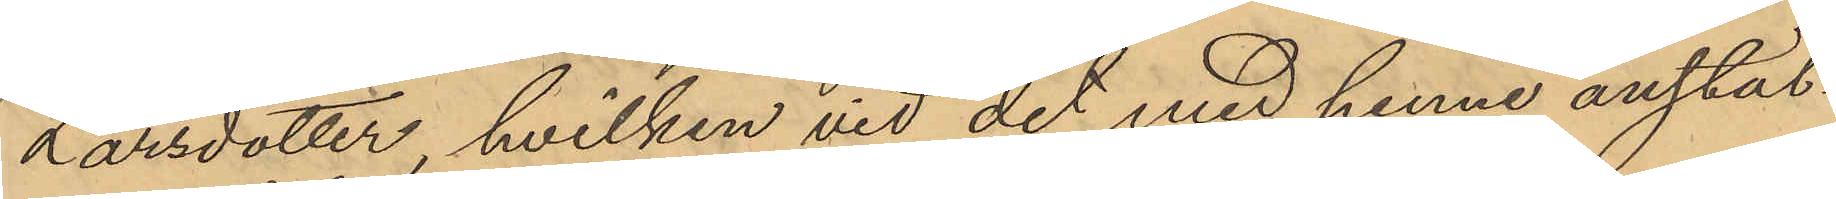Larsdotter, hvilken vid det med henne anstäl¬
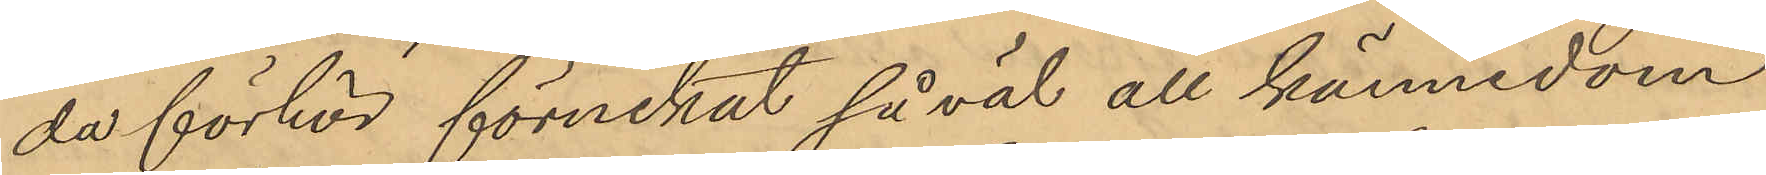da förhör förnekat såväl all kännedom
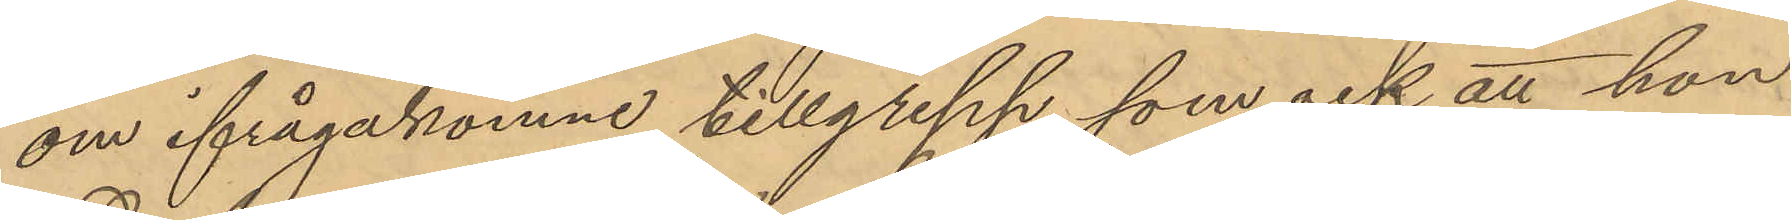om ifrågakomne tillgrepp, som ock att hon
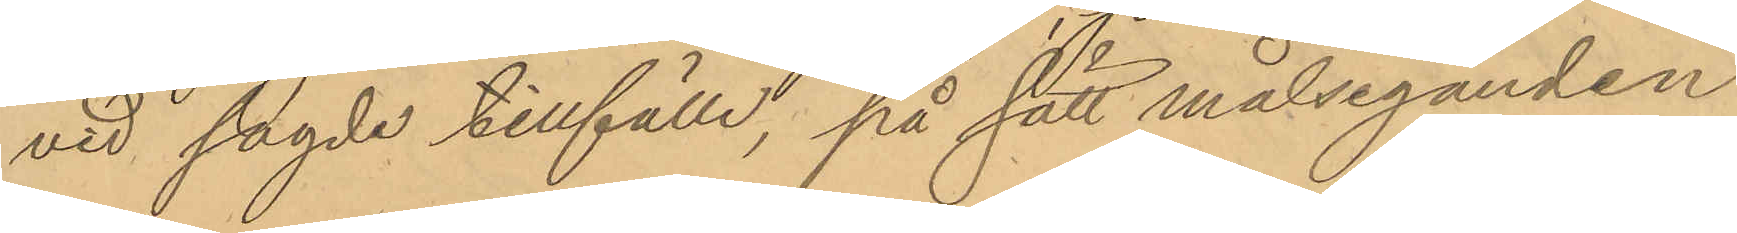vid sagde tillfälle, på sätt målseganden
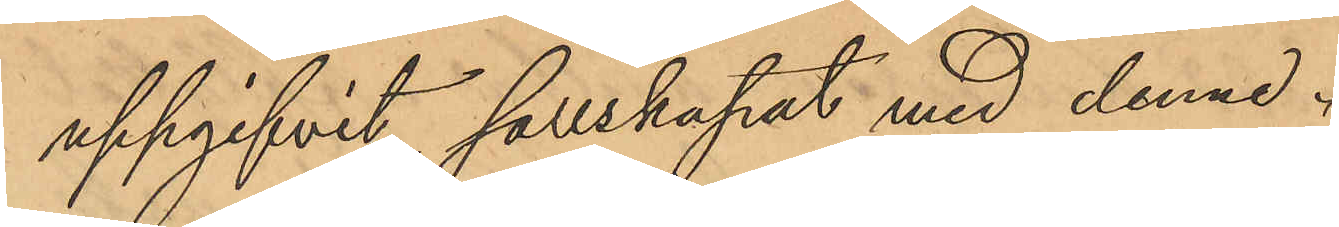uppgifvit sällskapat med denne.
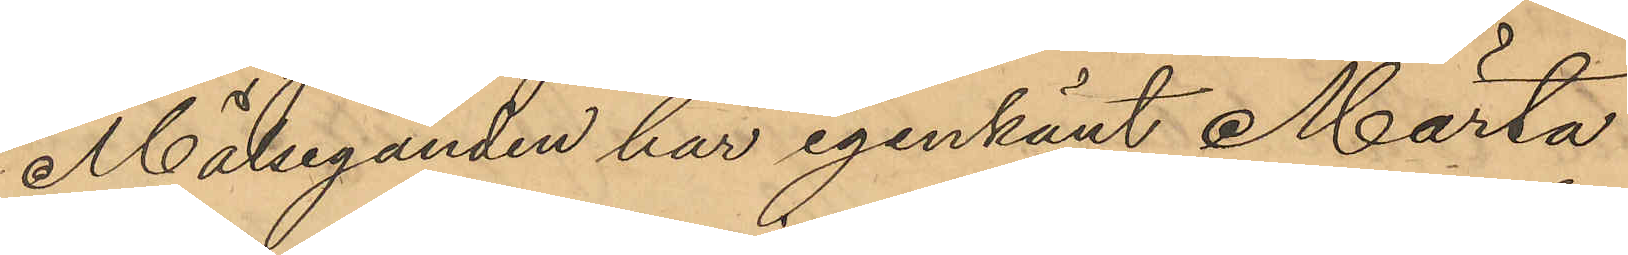Målseganden har igenkänt Märta
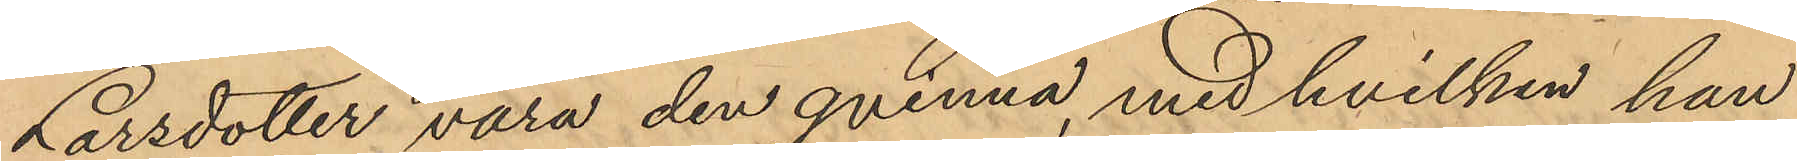Larsdotter vara den qvinna, med hvilken han
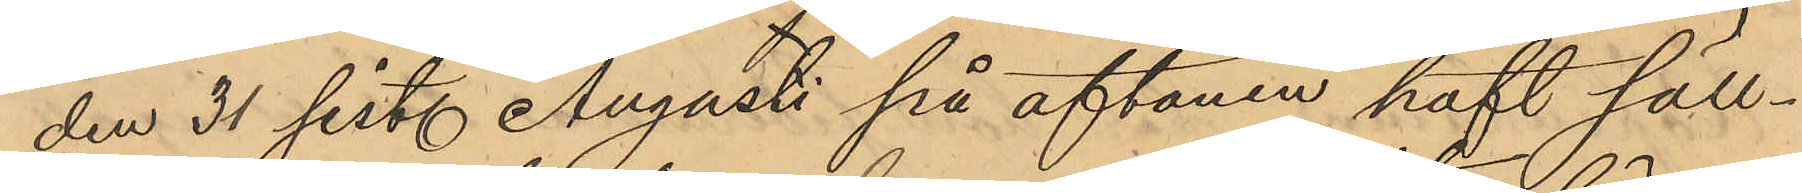den 31 sist. Augusti på aftonen haft säll¬
